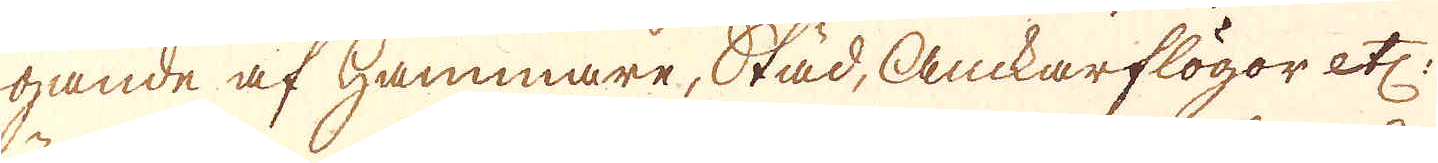gande af hammare, Städ, Anckarflögor etc:
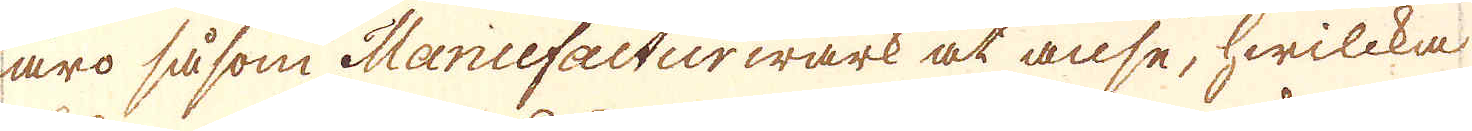äro såsom Manufacturwärk at anse, hwilcka
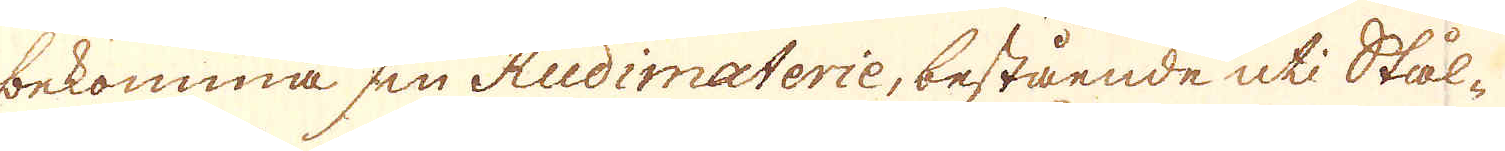bekomma sin Rudimaterie, bestående uti Stål-
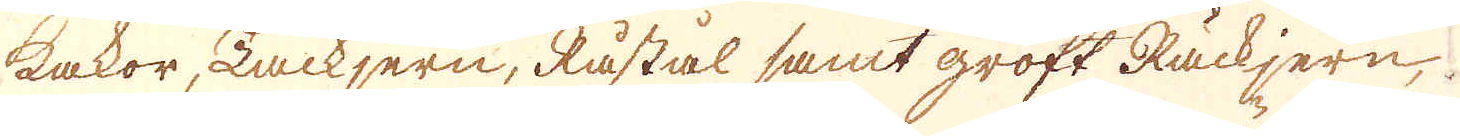kakor, Tackjern, Råstål samt groft Räckjern,
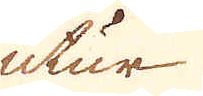utur
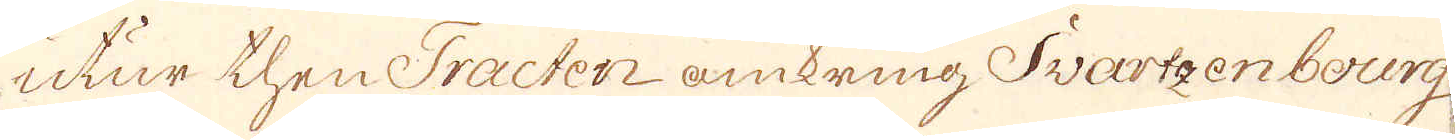utur then Tracten omkring Swartzenbourg,
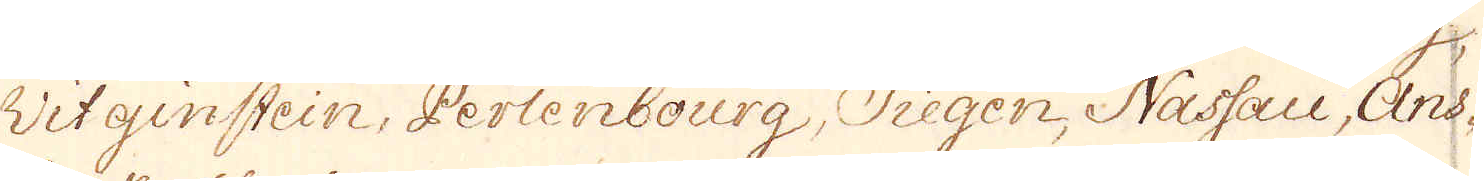Witginstein, Perlenbourg, Siegen Nassau, Ans-
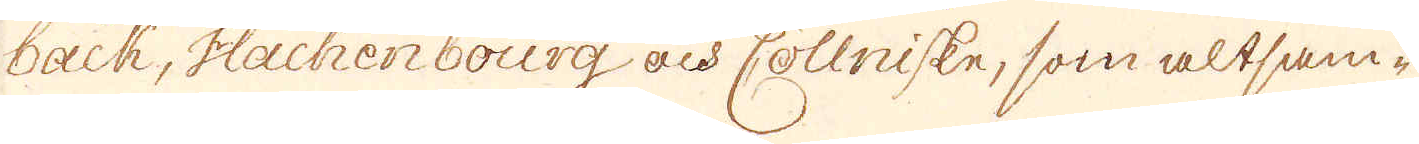back, Hachenbourg och Cöllniske, som altsam-
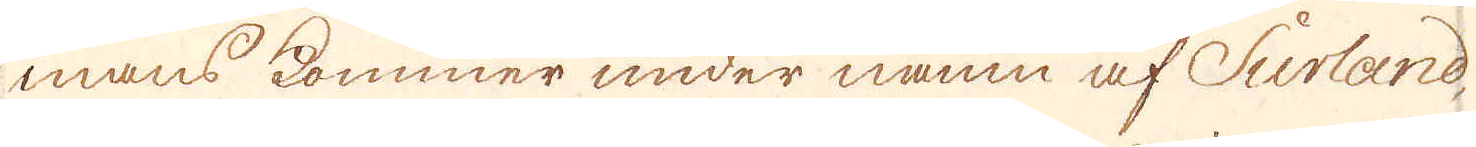mans kommer under namn af Surland,
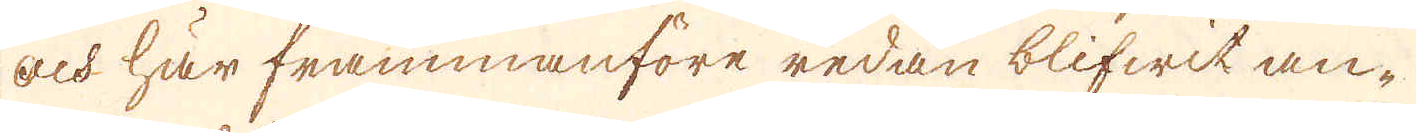och här frammanföre redan blifwit an-
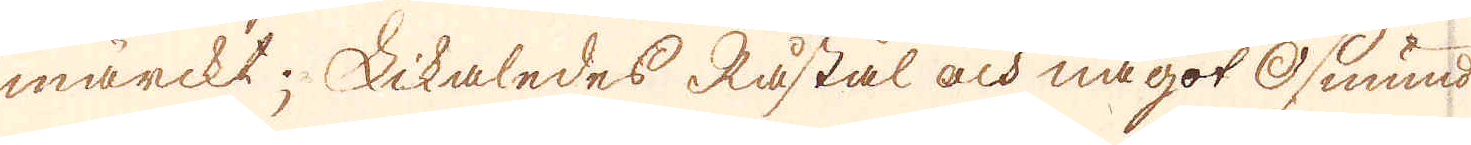märckt; Likaledes Råstål och något Osmund
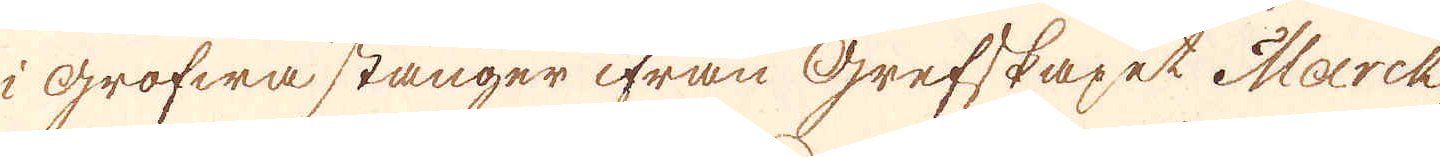i Grofwa stänger ifrån Grefskapet Marck,
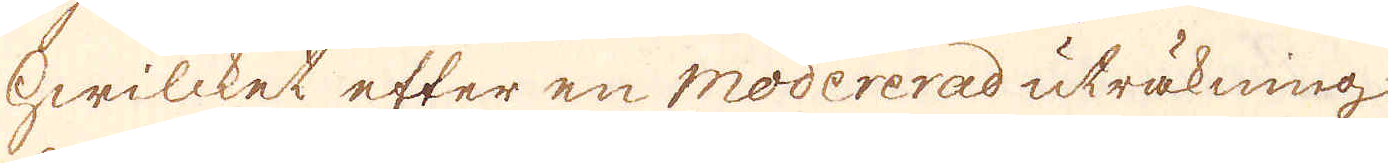hwilcket efter en modererad uträkning
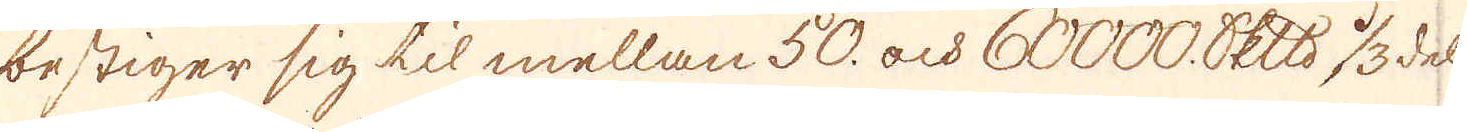bestiger sig til mellan 50. och 60000 skeppund 1/3del
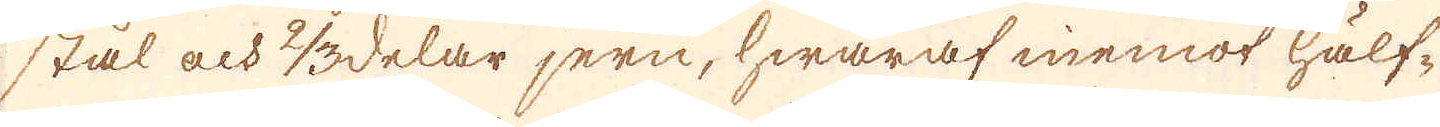stål och 2/3delar jern, hwaraf inemot hälf-
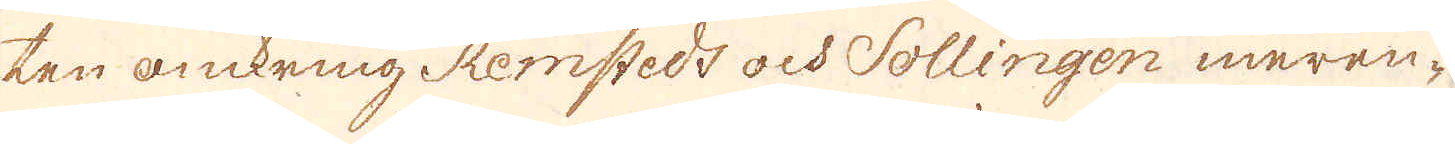ten omkring Remstedt och Sollingen meren-
